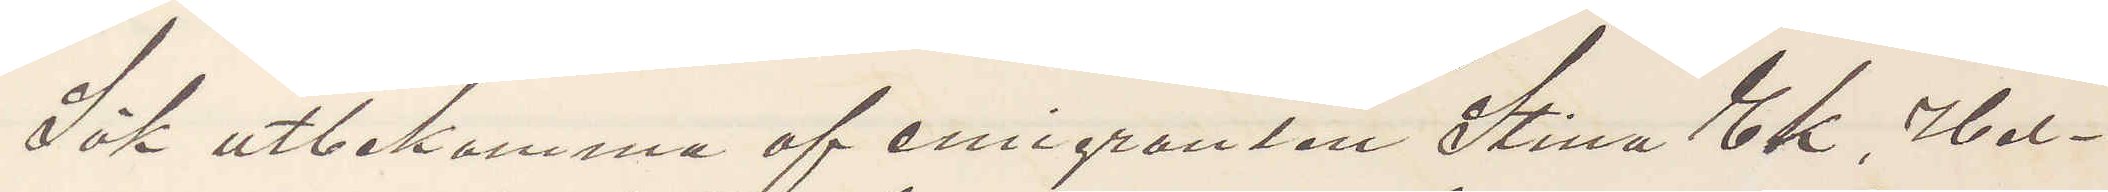Sök utbekomma af emigranten Stina Ek, Hel¬
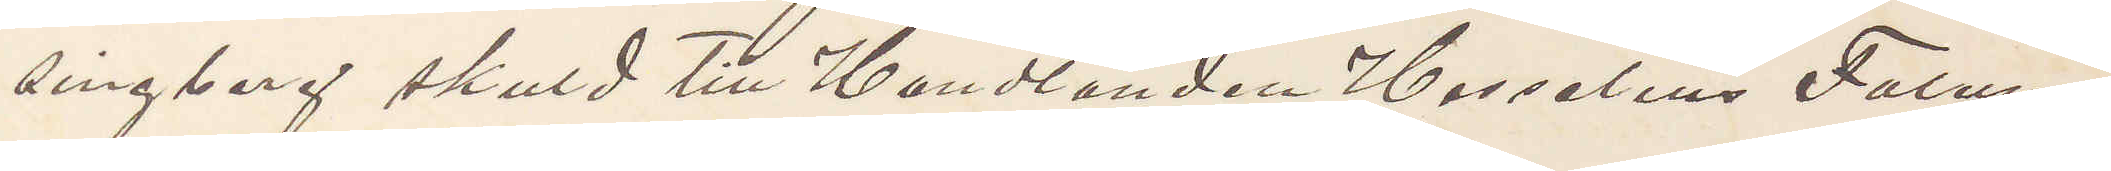singborg skuld till Handlanden Hasselius Falun
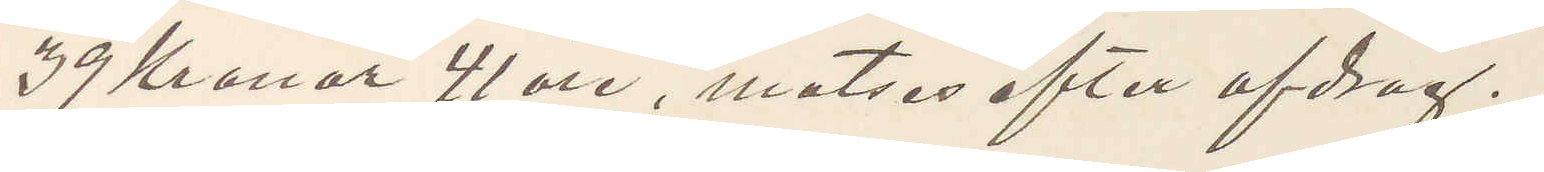39 Kronor 41 öre, motses efter afdrag.
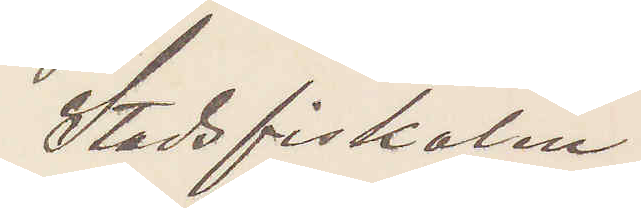Stadsfiskalen
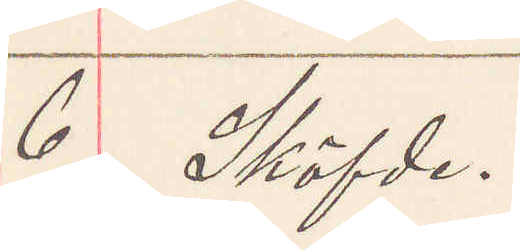6  Sköfde.
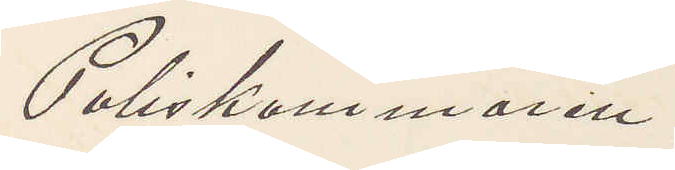Poliskammaren
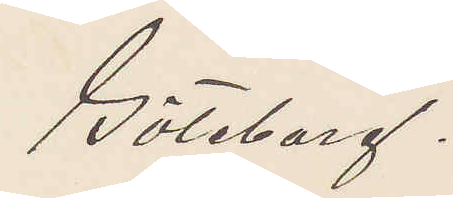Göteborg.
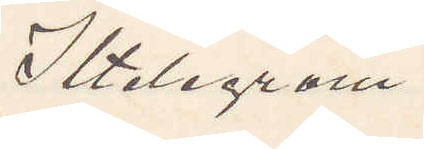Iltelegram.
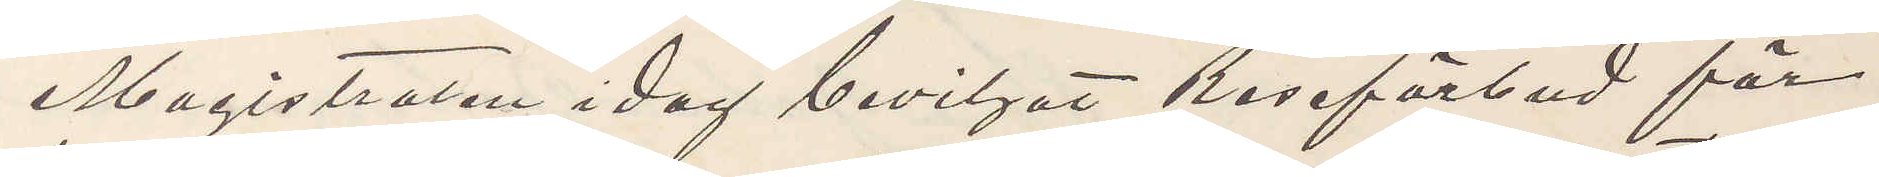Magistraten i dag beviljat Reseförbud för
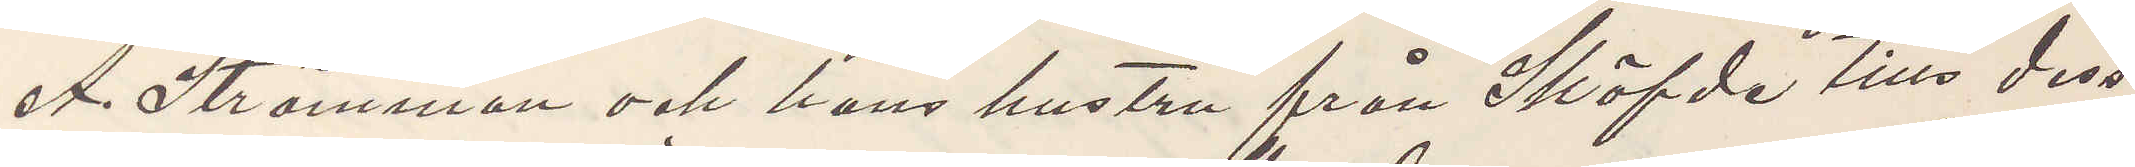A. Strömman och hans hustru från Sköfde tills dess
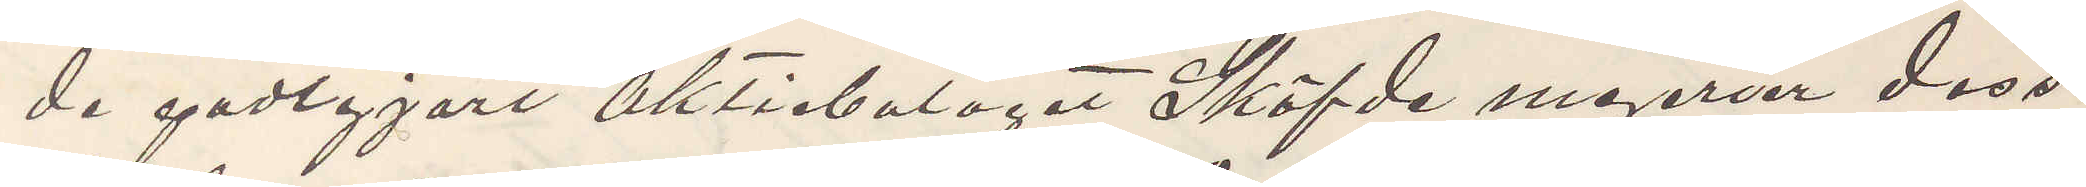de godtgjort aktiebolaget Sköfde mejerier dess
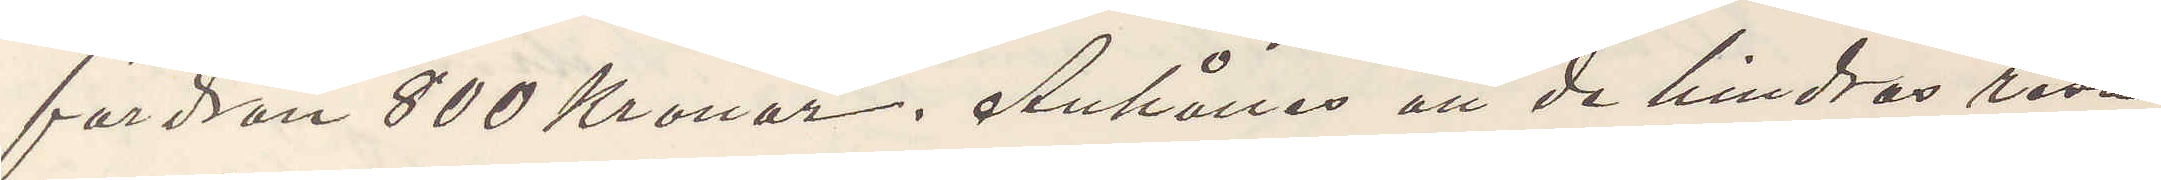fordran 800 Kronor. Anhålles att de hindras resa
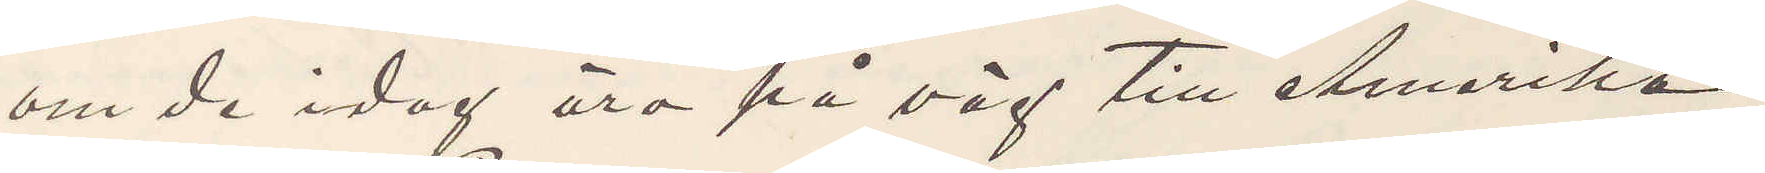om de idag äro på väg till Amerika.
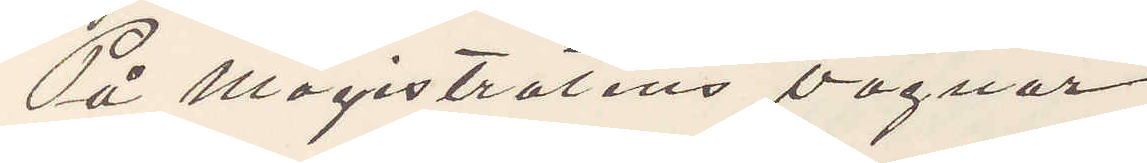På Magistratens vägnar
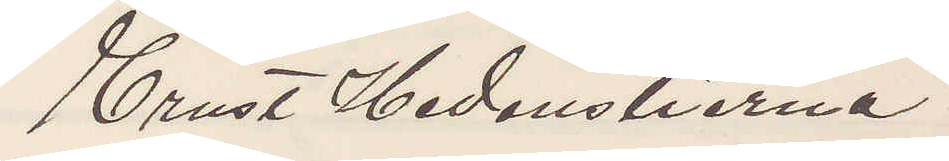Ernst Hedenstierna.
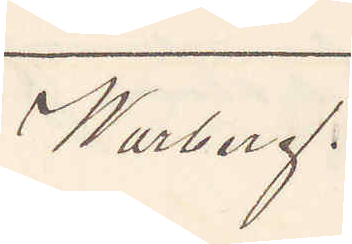Warberg.
